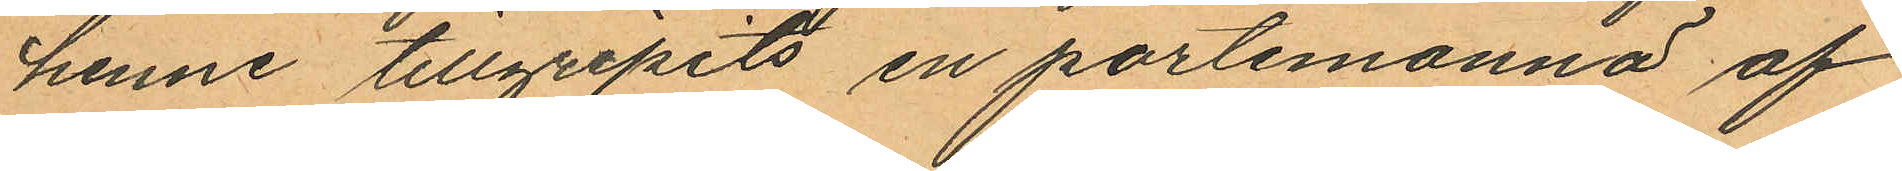henne tillgripits en portemonnä af
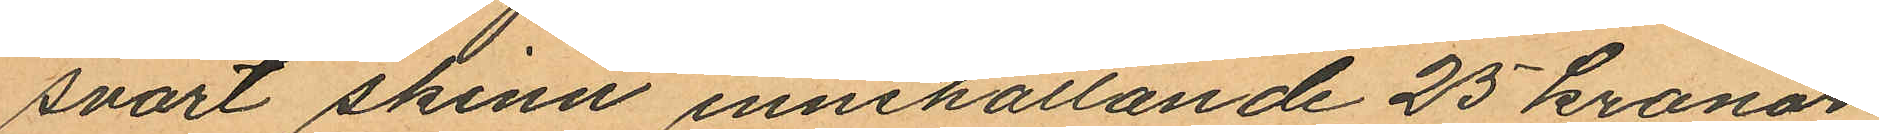svart skinn innehållande 25 kronor
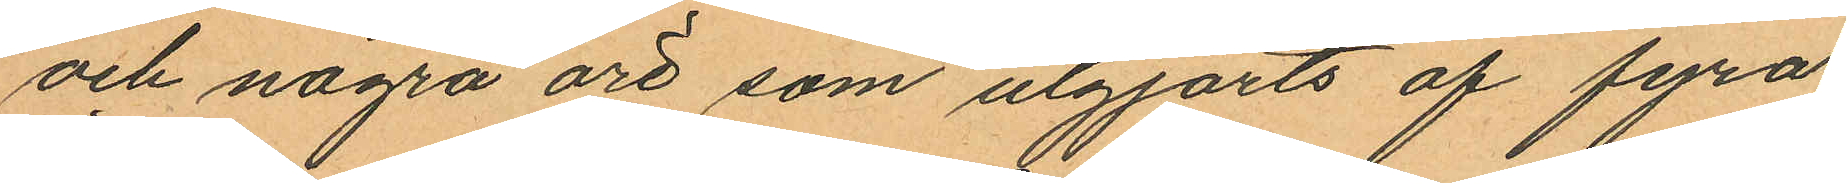och några öre som utgjorts af fyra
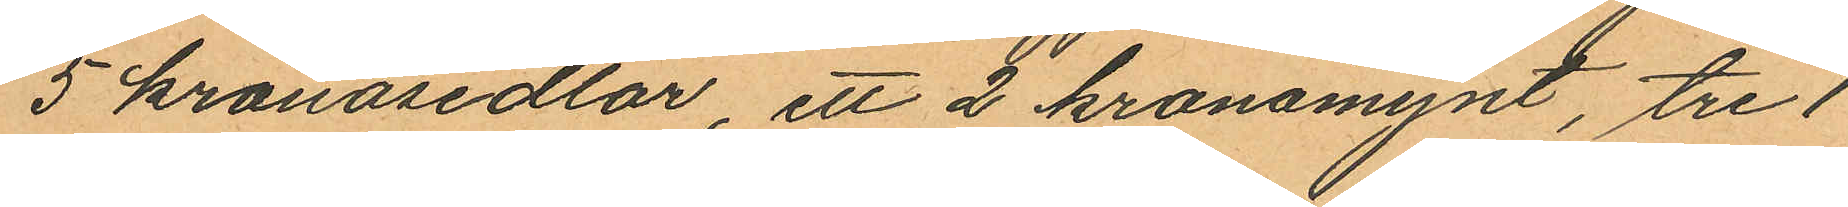5 kronosedlar, ett 2 kronomynt, tre 1
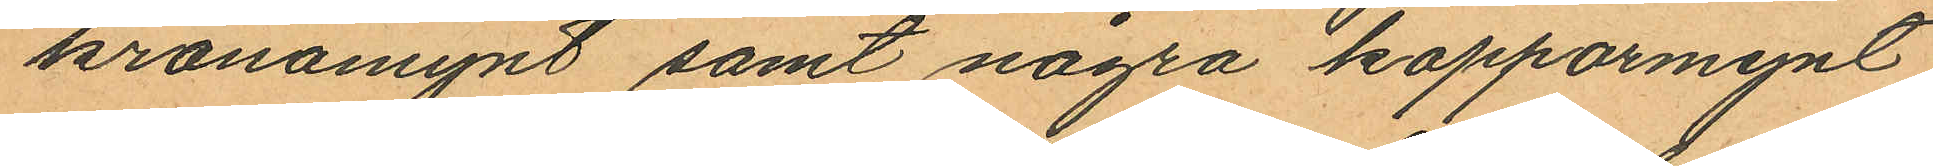kronomynt samt några kopparmynt;
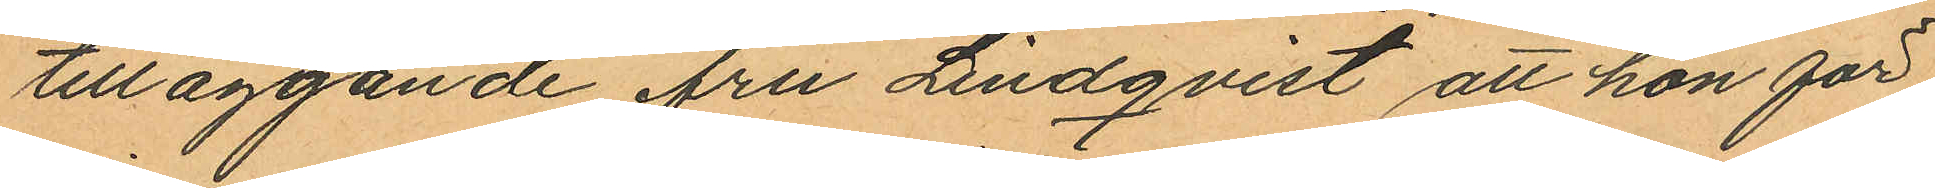tilläggande fru Lindqvist att hon för
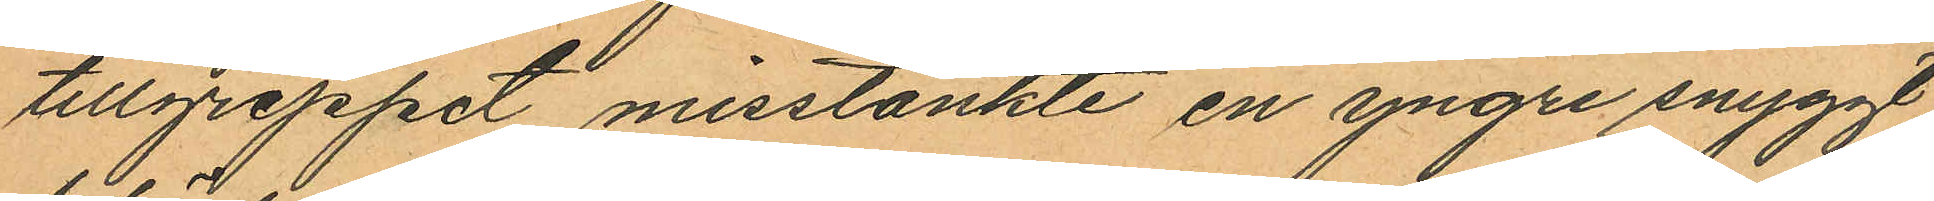tillgreppet misstänkte en yngre snyggt
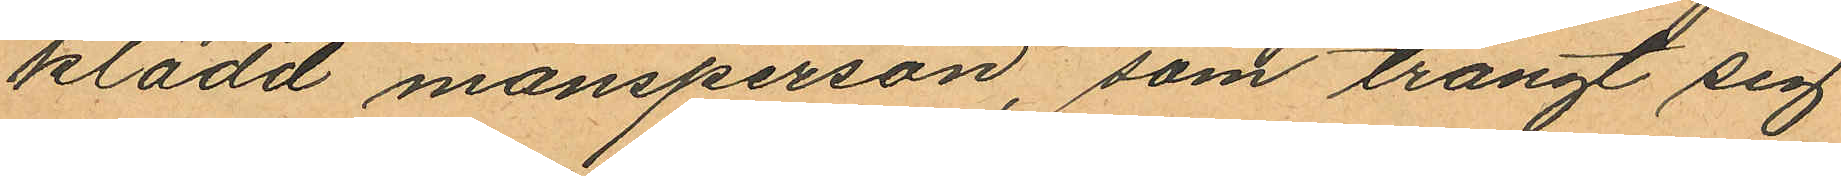klädd mansperson, som trängt sig
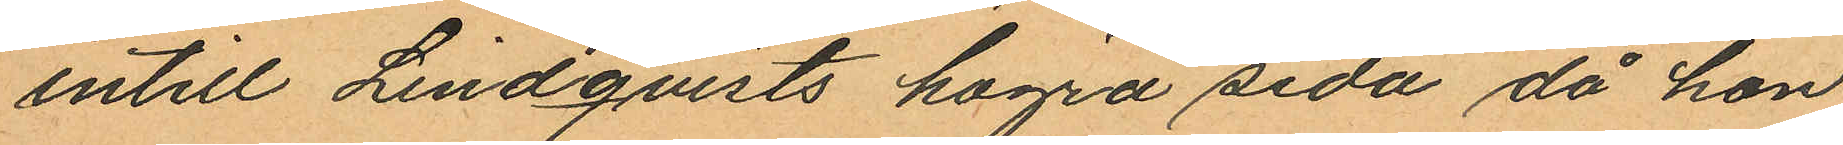intill Lindqvists högra sida då hon
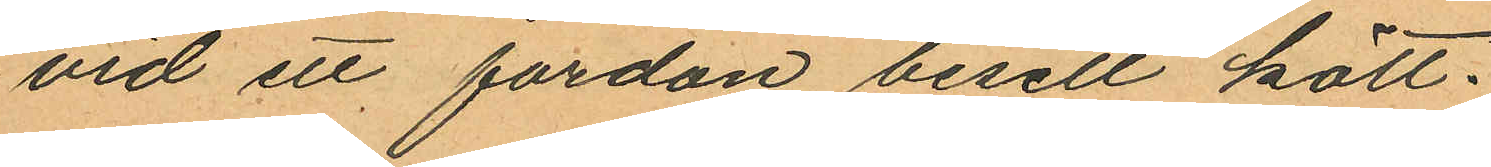vid ett fordon besett kött.
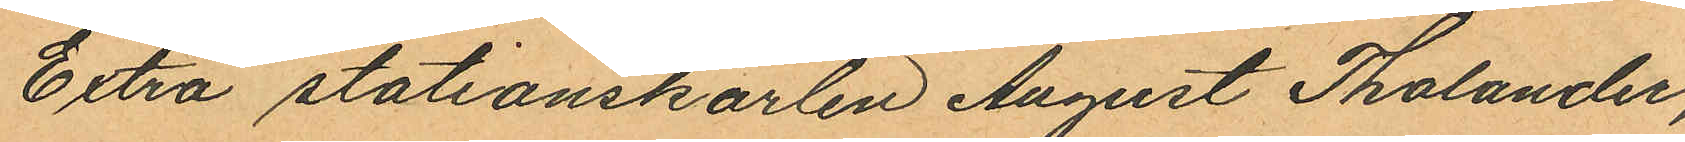Extra stationskarlen August Tholander,
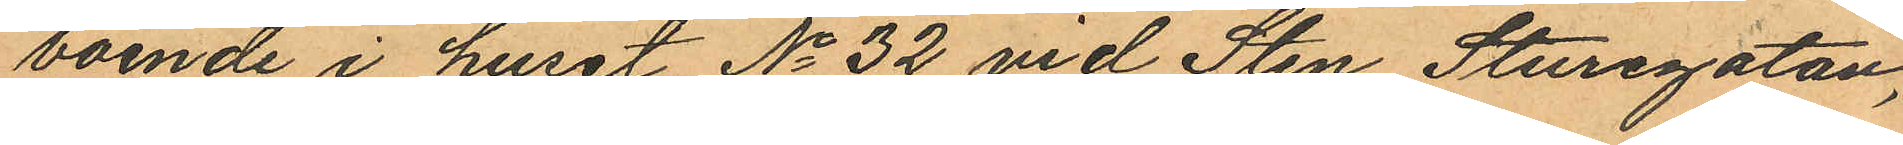boende i huset No 32 vid Sten Sturegatan,
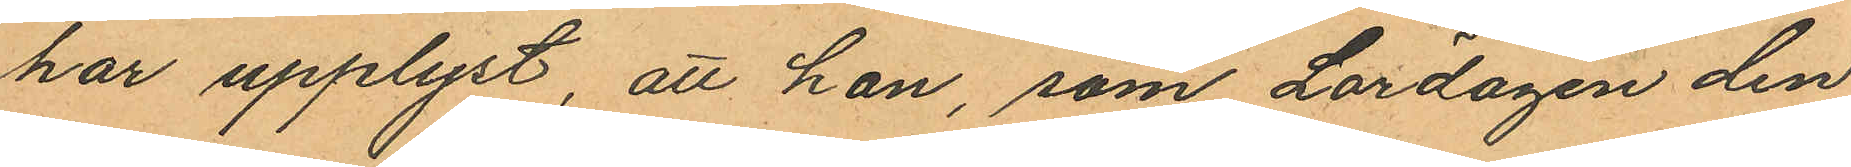har upplyst, att han, som Lördagen den
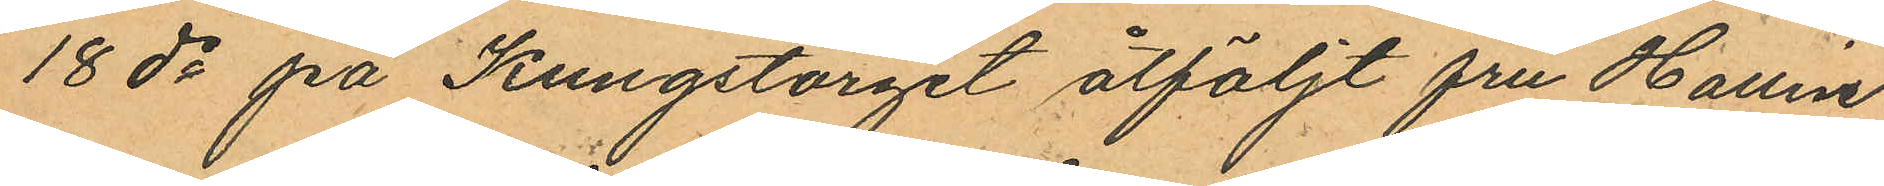18 ds på Kungstorget åtföljt fru Hallin
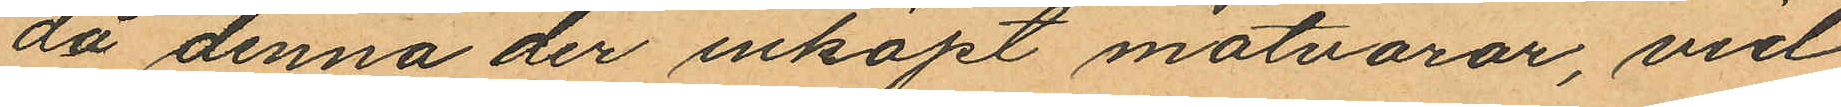då denna der inköpt matvaror, vid
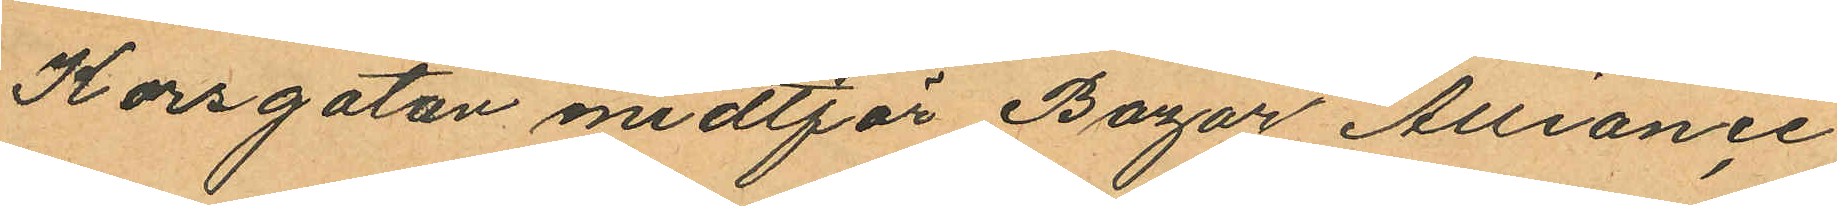Korsgatan midtför Bazar Alliance
